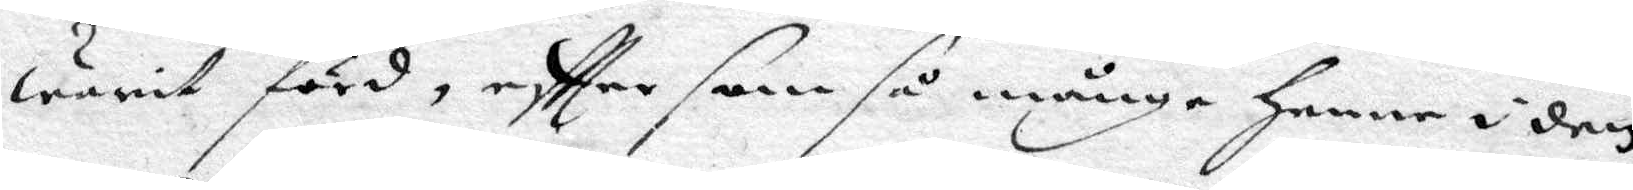warit förd, eftter som så månge henne i den
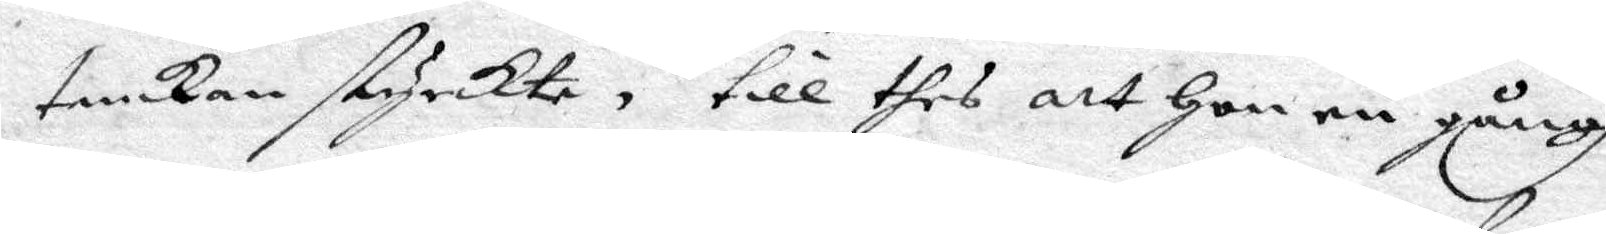tankan styrckte, till thes att hon en gångh
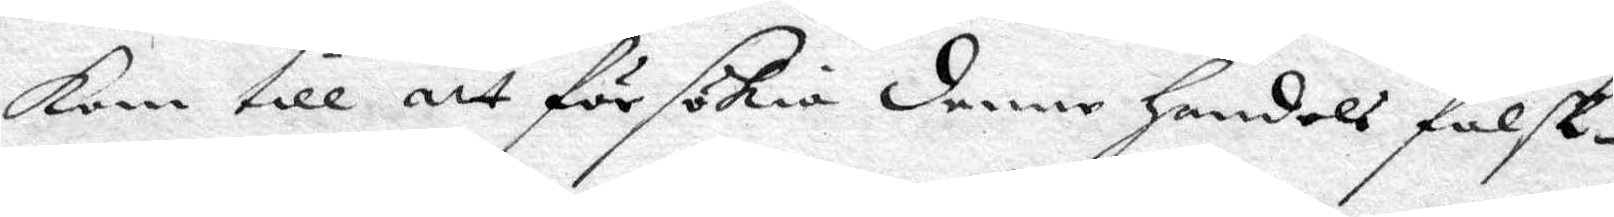kom till att för sökia denne handels falsk¬
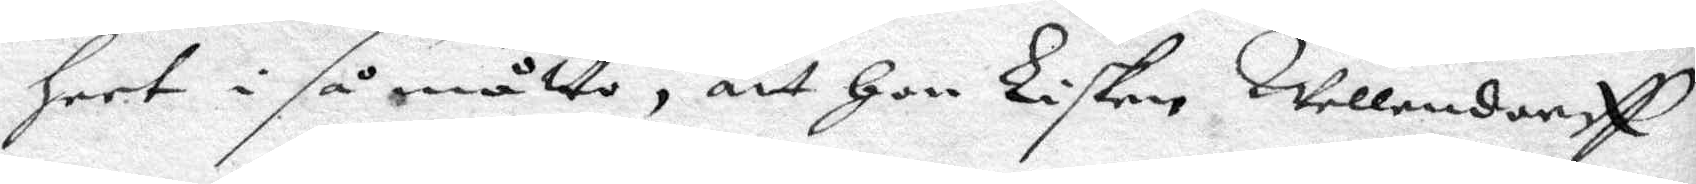heet i så måtto, att hon Lisken Wellendorff
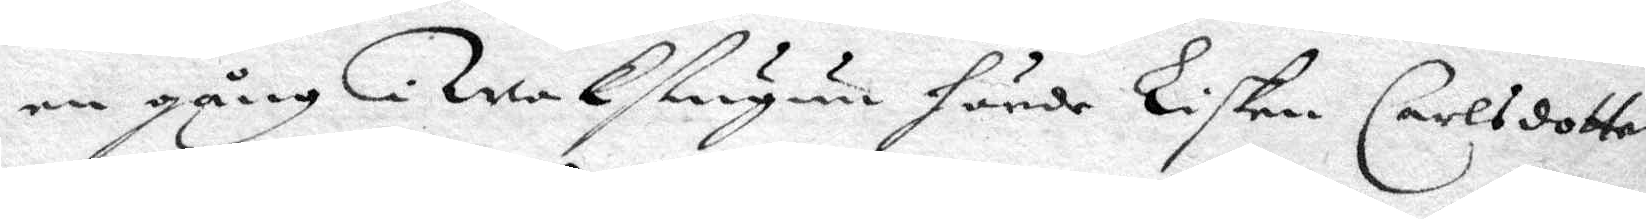en gång i Wakstugun hände Lisken Carlsdotter
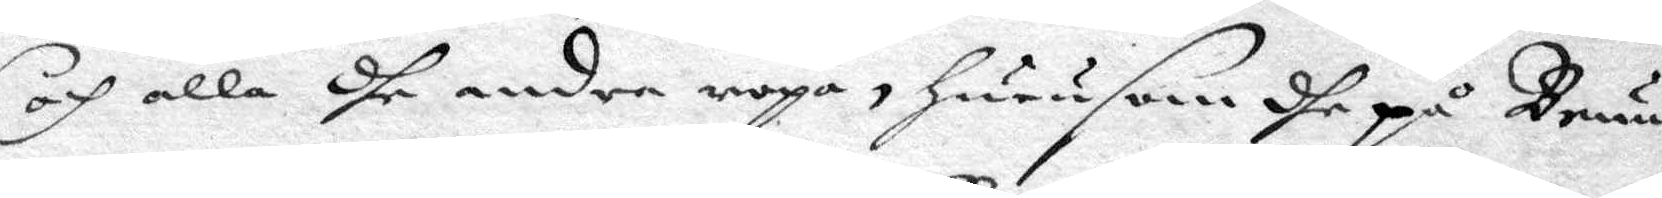och alla dhe andra ropa, huruom dhe på Brun¬
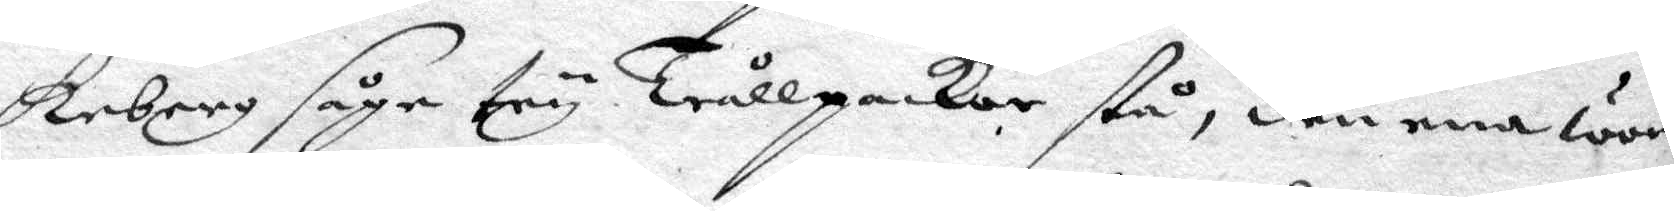keberg såge try Trållpackor stå, den ena war
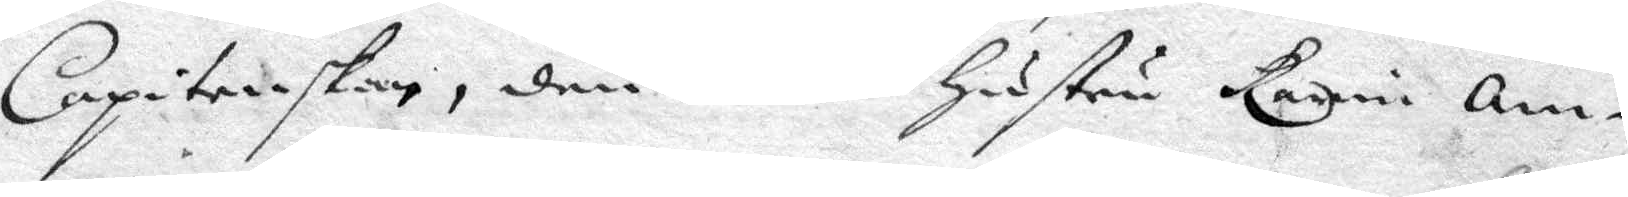Capitenskan, den andra hustru Karin Am¬
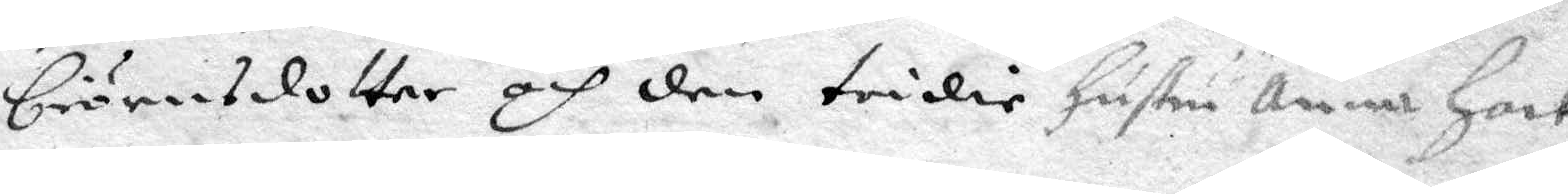biörnsdotter och den tridie hustru Anna hack
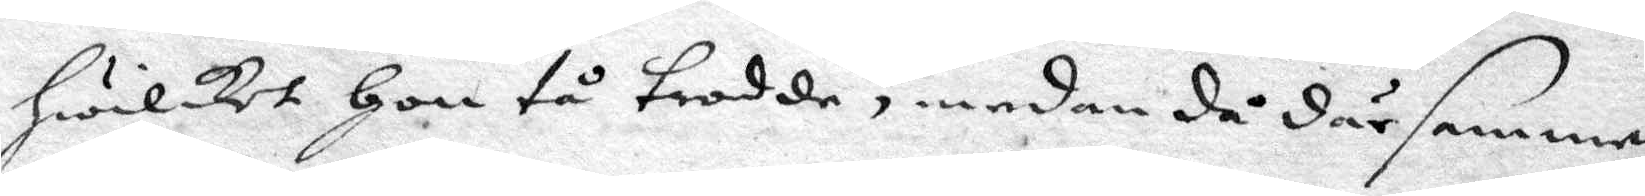hwilket hon tå trodde, medan då där samme¬
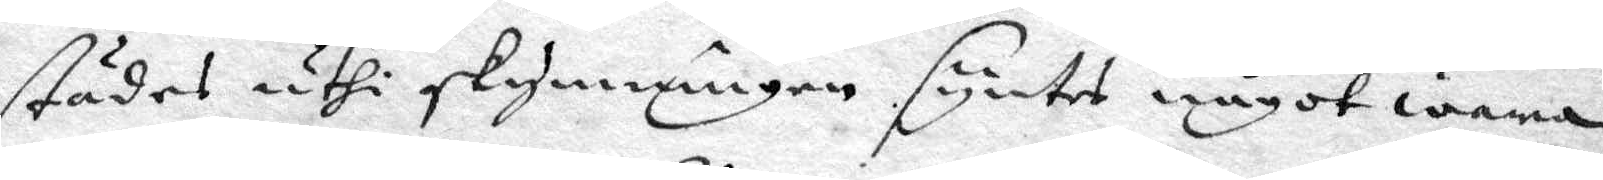städes uthi skymningen syntes något wara,
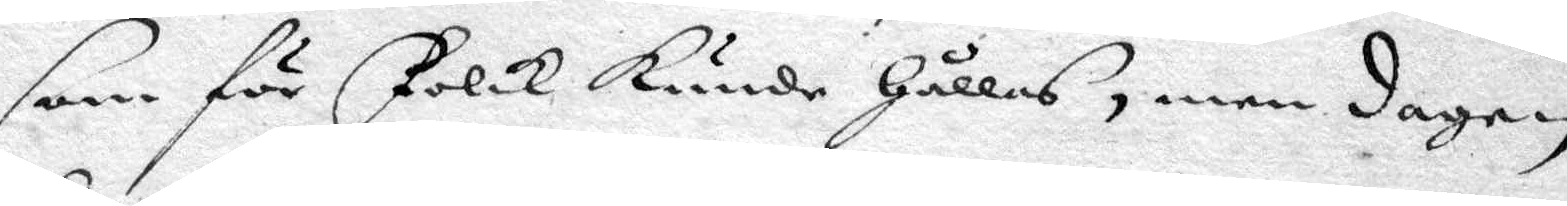som för Folck kunde hållas, men dagen
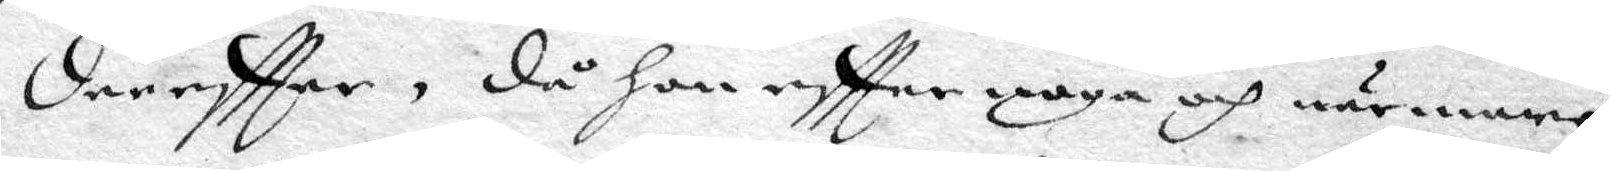dereftter, då hon eftter noga och närmare
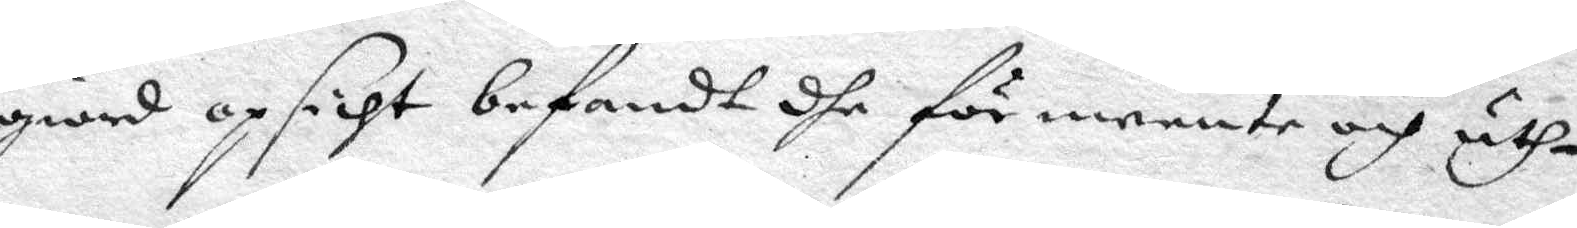giord opsicht befandt dhe för meente och uth¬
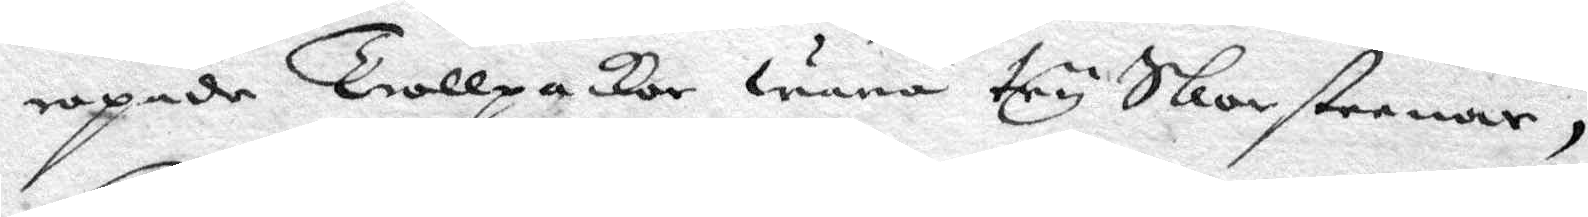ropade Trollpackor wara try Skorsteenar,
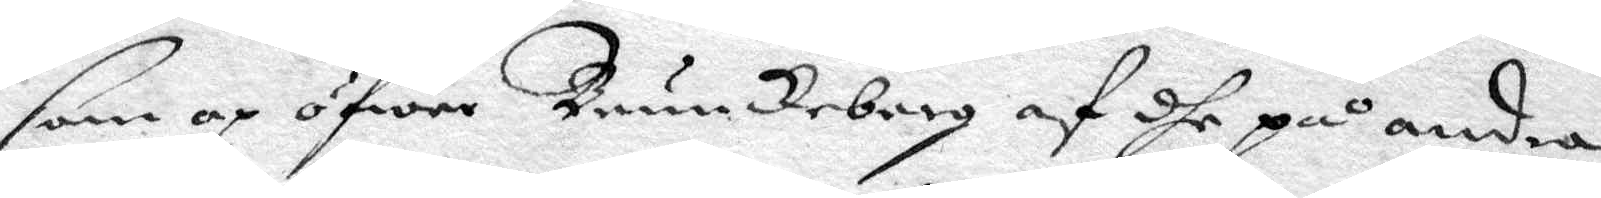som op öfwer Brunckeberg af dhe på andra
